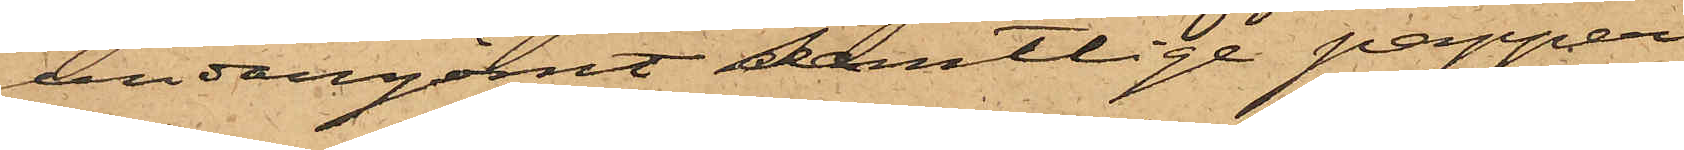undangömt samtlige papper,
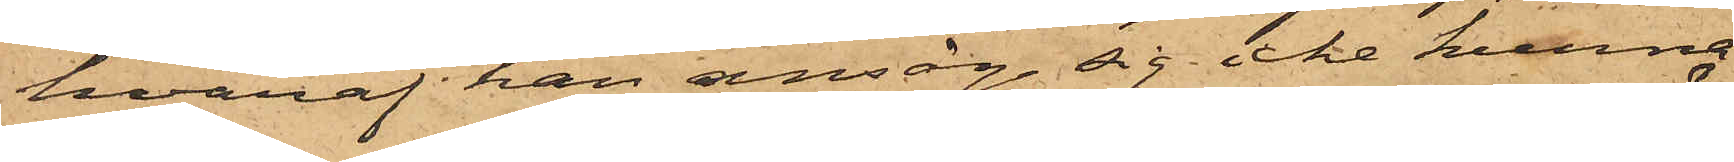hvaraf han ansåg sig icke kunna
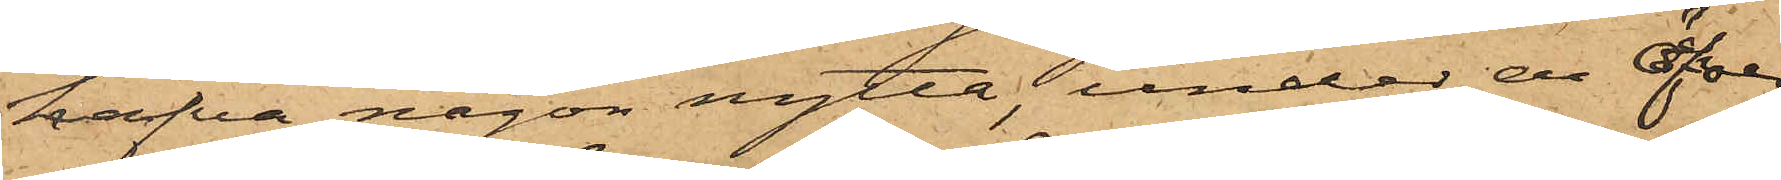hafva någon nytta, under en öfver
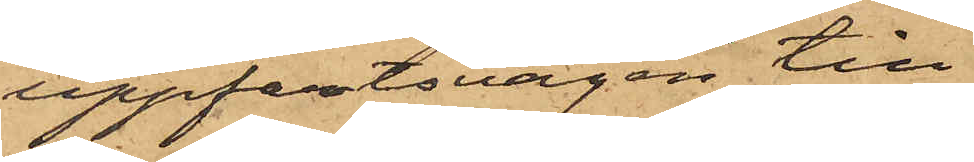uppfartsvägen till
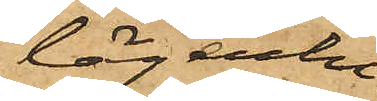lägenhe¬
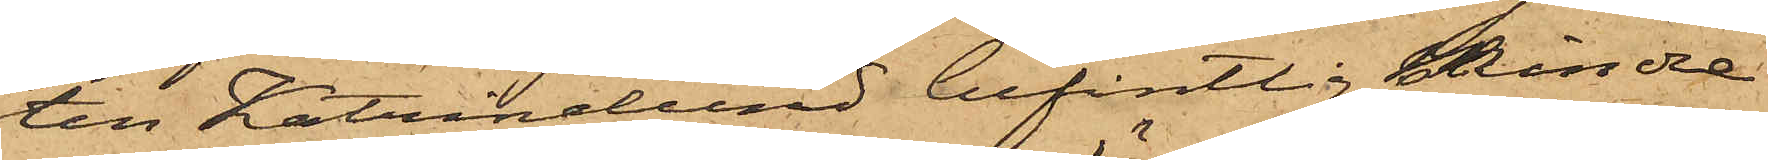ten Katrinelund befintlig mindre
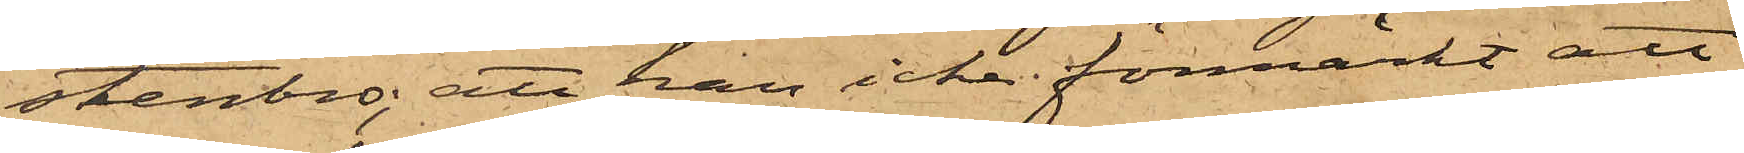stenbro; att han icke förmärkt att
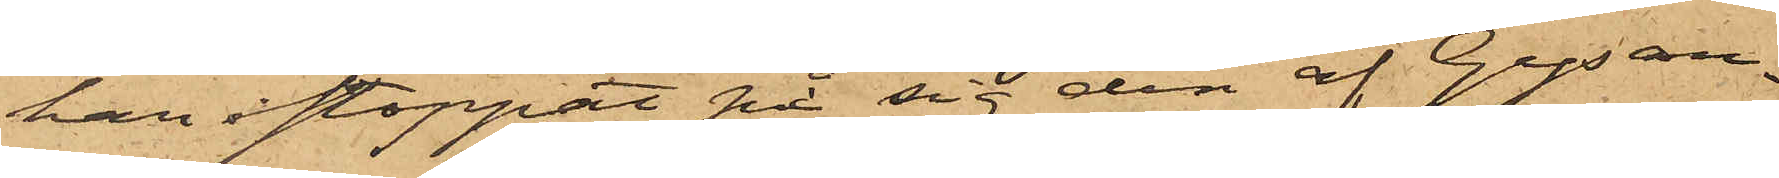han i stoppat på sig den af Gysan¬
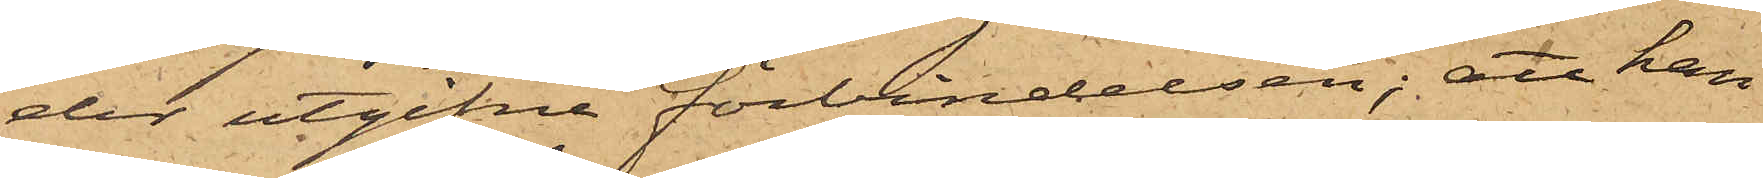der utgifne förbindelsen; att han
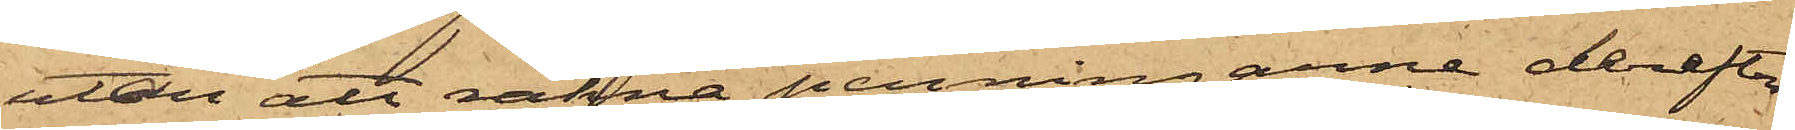utan att räkna penningarne derefter
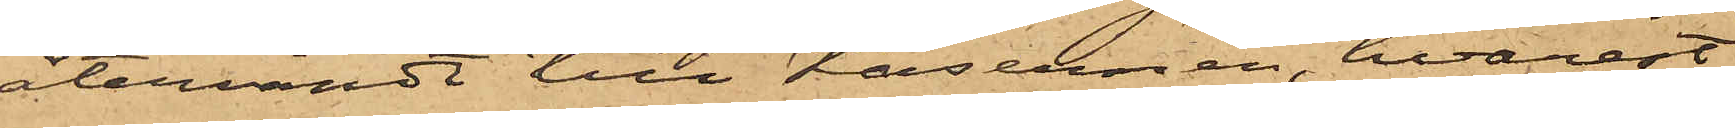återvändt till Kasernen, hvarest
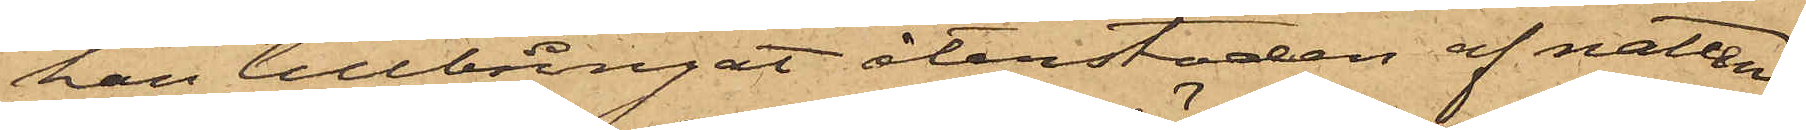han tillbringat återstoden af natten;
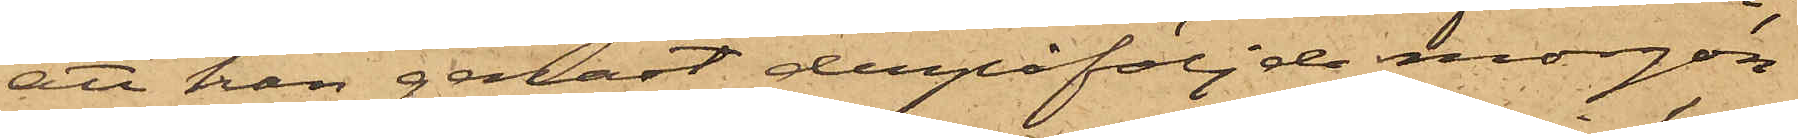att han genast derpåföljde morgon
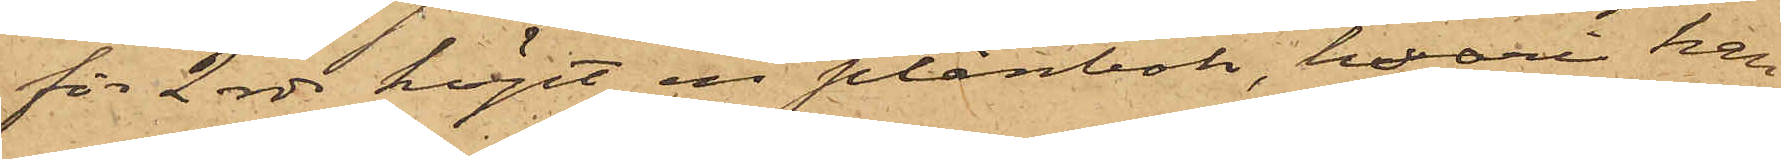för 2 rdr köpt en plånbok, hvari han
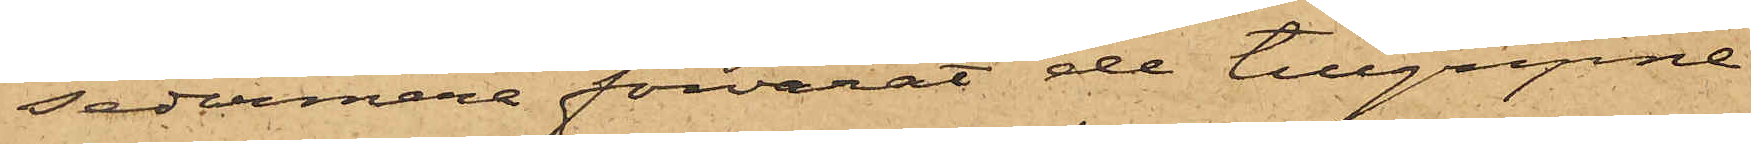sedermera förvarat de tillgripne
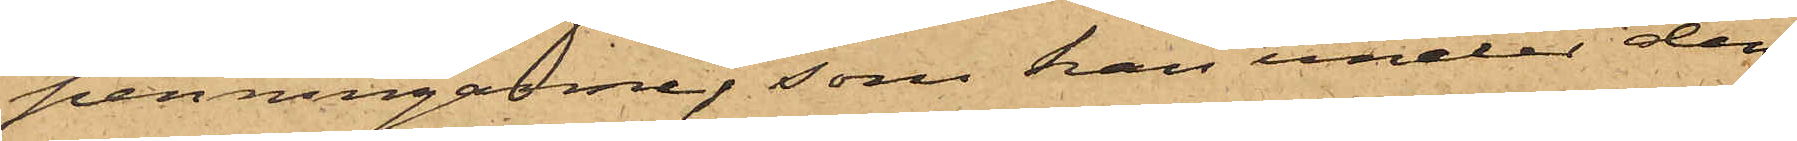penningarne, som han under den¬
